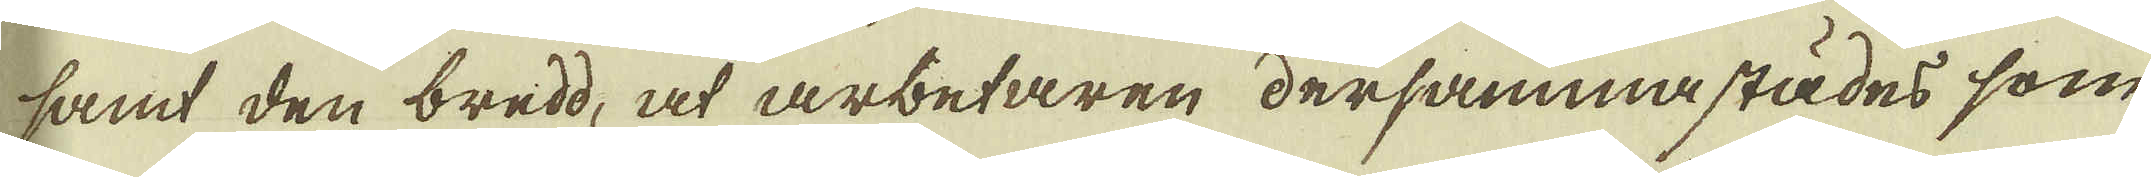samt den bredd, at arbetaren dersammastädes som
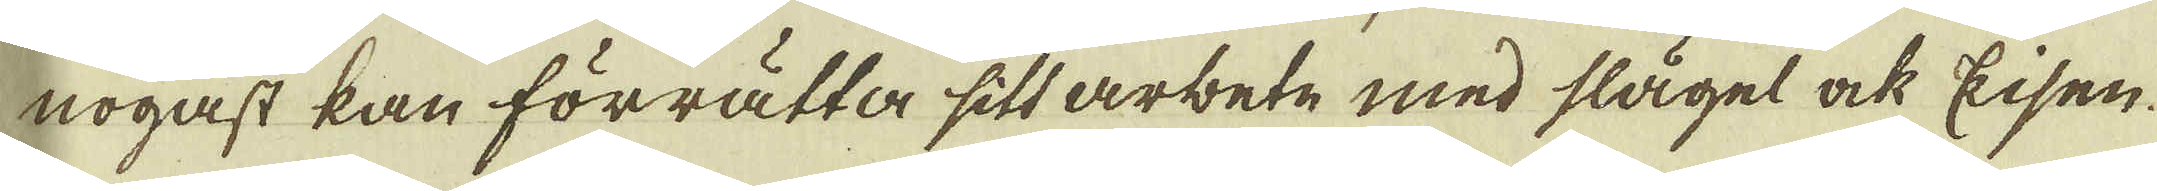nogast kan förratta sitt arbete med slägel ock Eisen
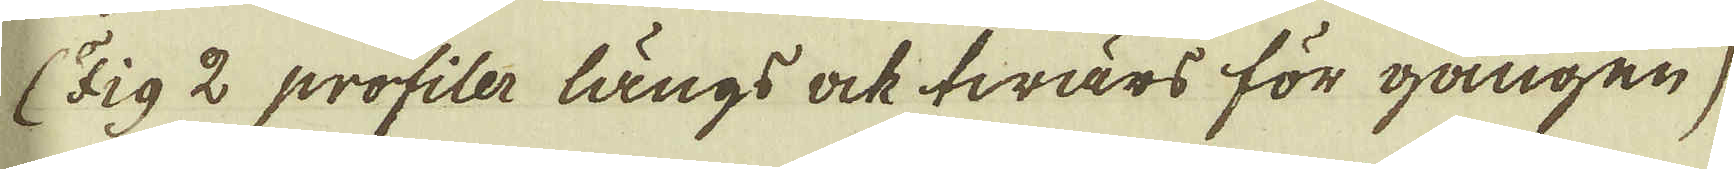(Fig 2 profiler långs ock twärs för gången)
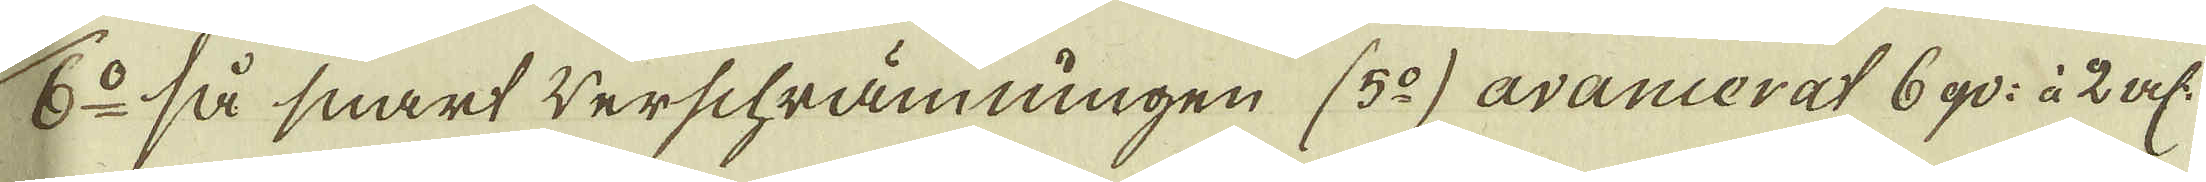6:o så snart werschrämningen (5:o) avancerat 6 qv: à 2 al:
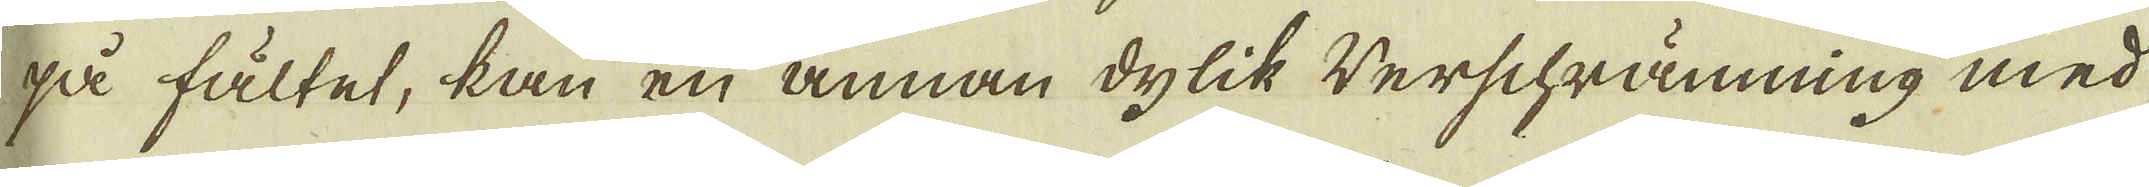på fältet, kan en annan dylik werschrämning med
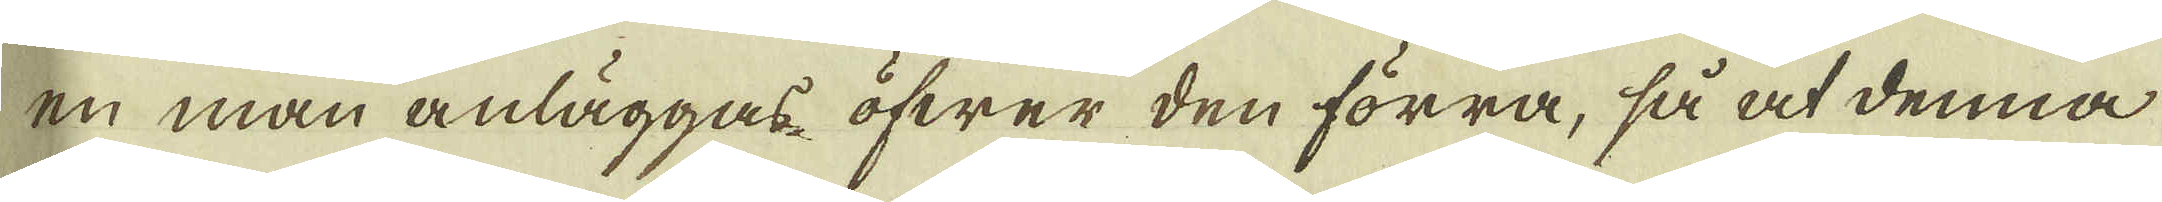en man anläggas öfwer den förra, så at denna
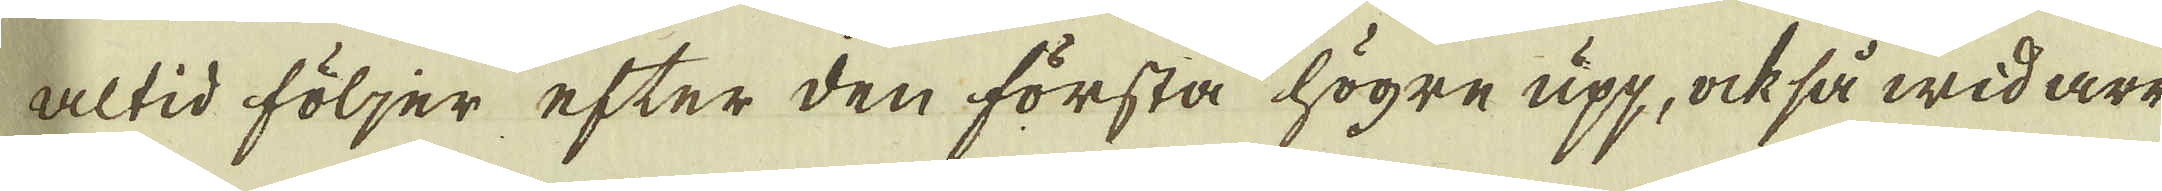altid följer efter den första högre upp, ock så widare
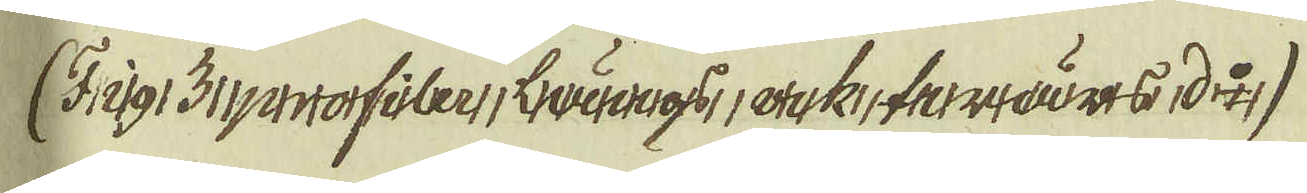(Fig: 3 profiler längs ock twärs, d:o)
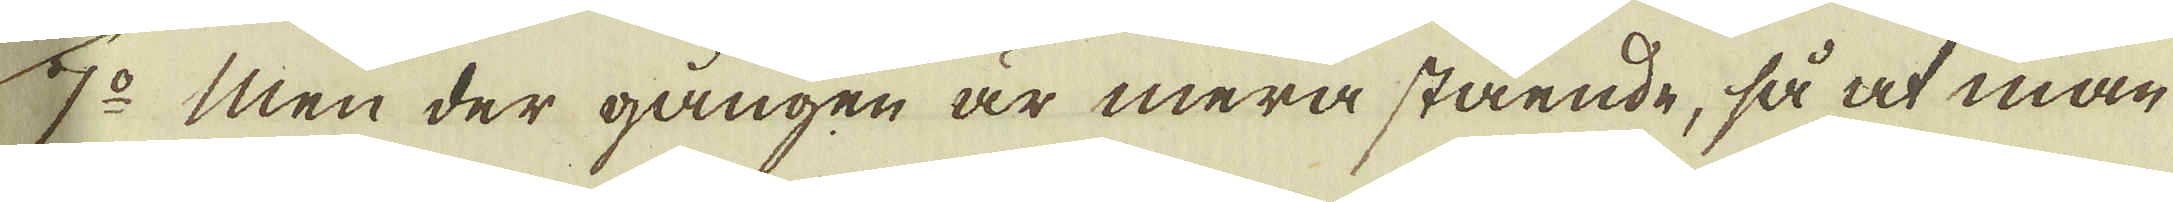7:o Men der gången är mera stående, så at man
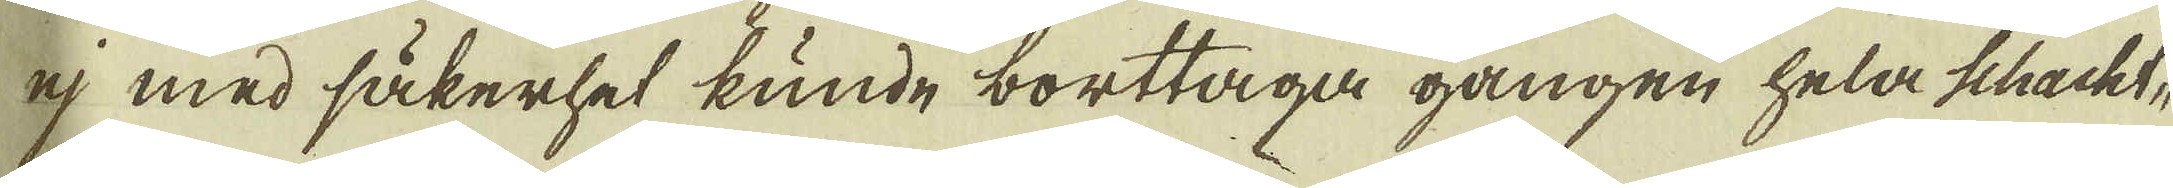ej med säkerhet kunde borttaga gången hela schacht-
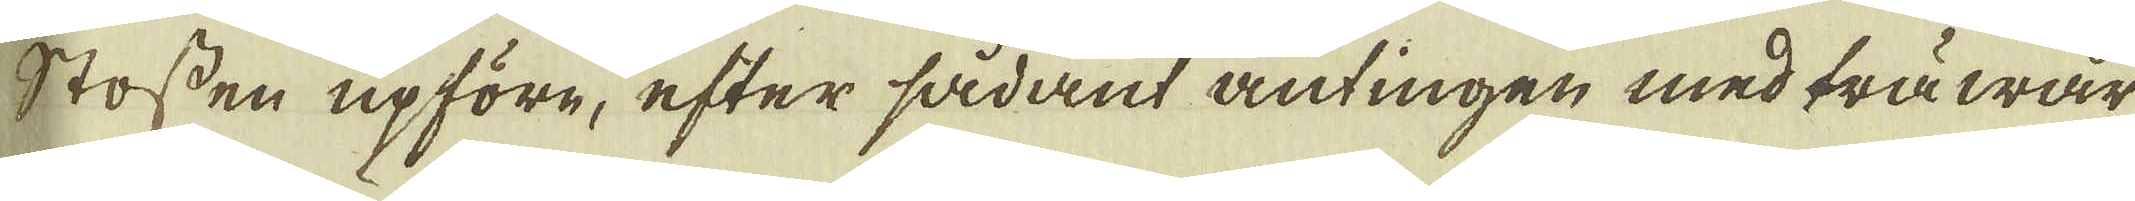stossen upföre, efter sådant antingen med träwär-
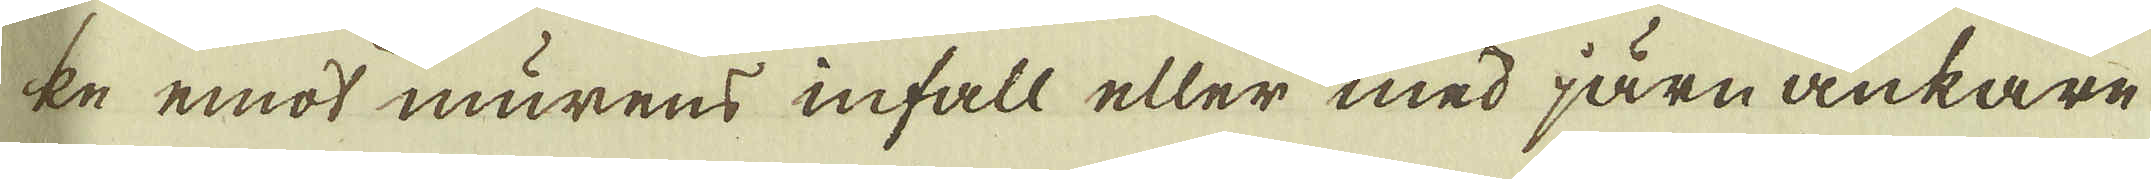ke emot murens infall eller med järn ankare
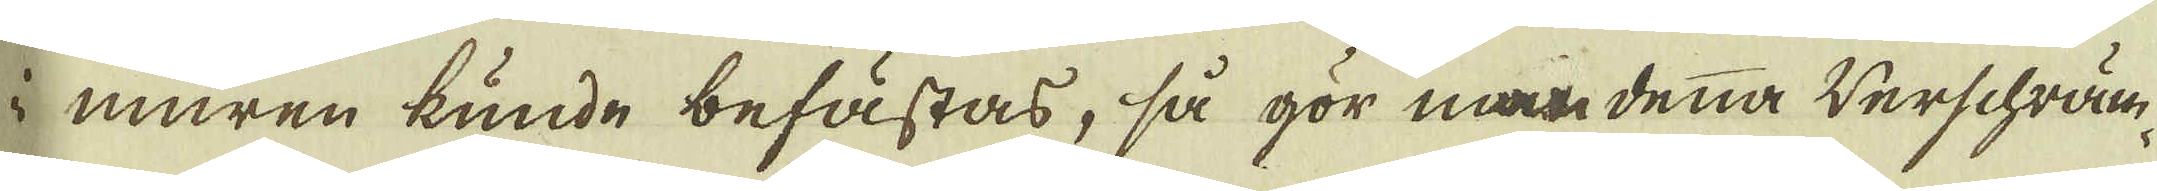i muren kunde befästas, så gör man denna werschräm-
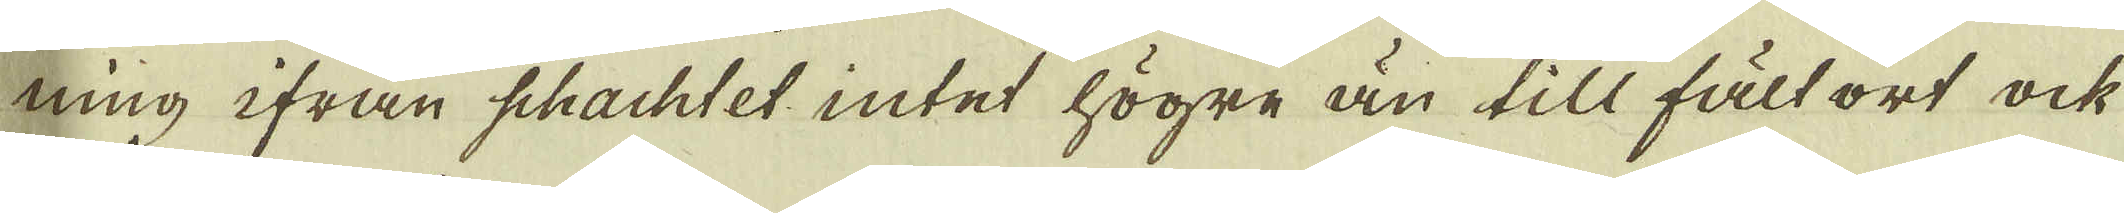ning ifrån schachtet intet högre än till fält ort ock
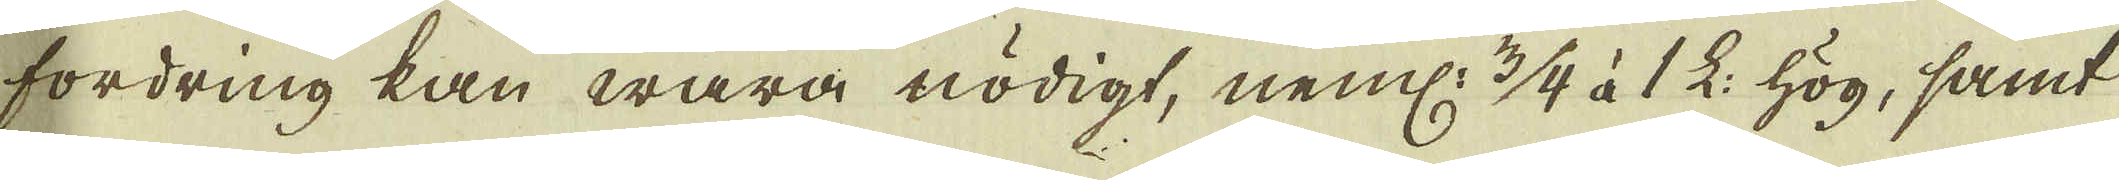fordring kan wara nödigt, neml: 3/4 à 1 L: hög, samt
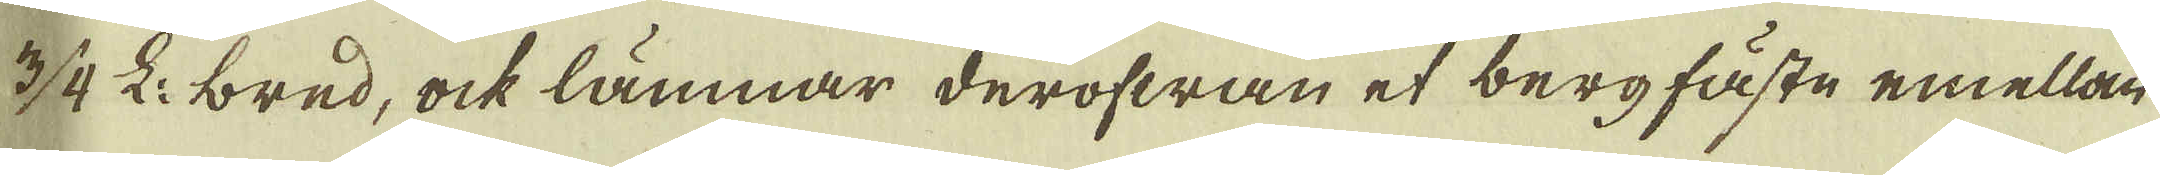3/4 L: bred, ock lämnar derofwan et bergfäste emellan
